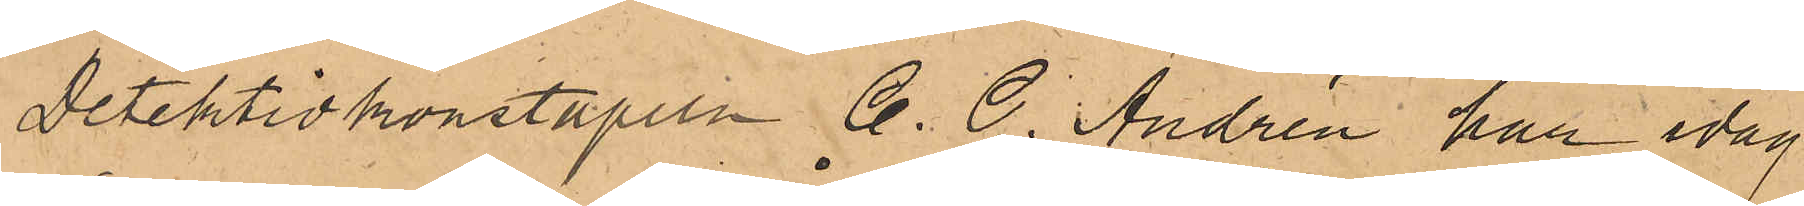Detektivkonstapeln C. G. Andrén har idag
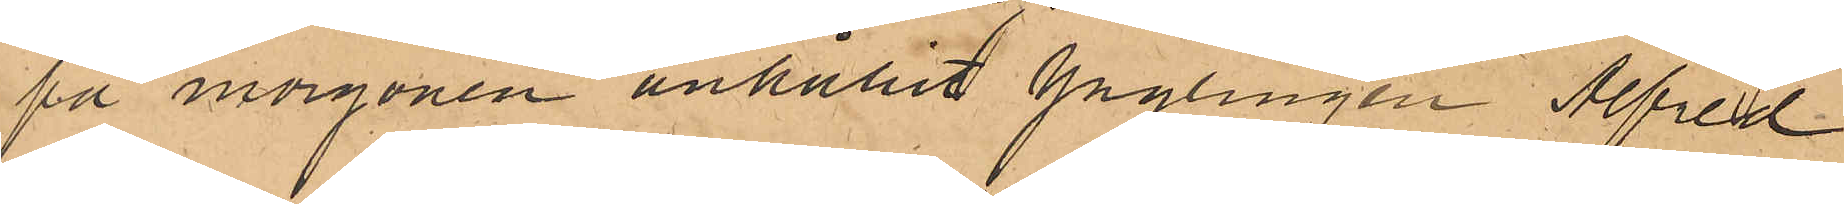på morgonen anhållit ynglingen Alfred
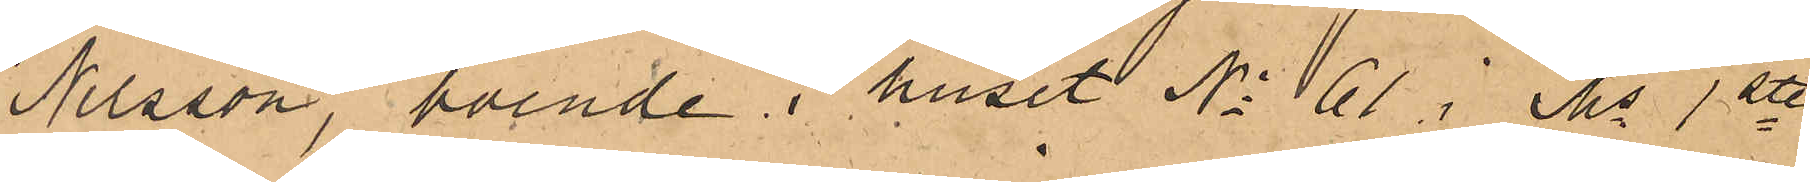Nilsson, boende i huset No 61 i Ms 1ste
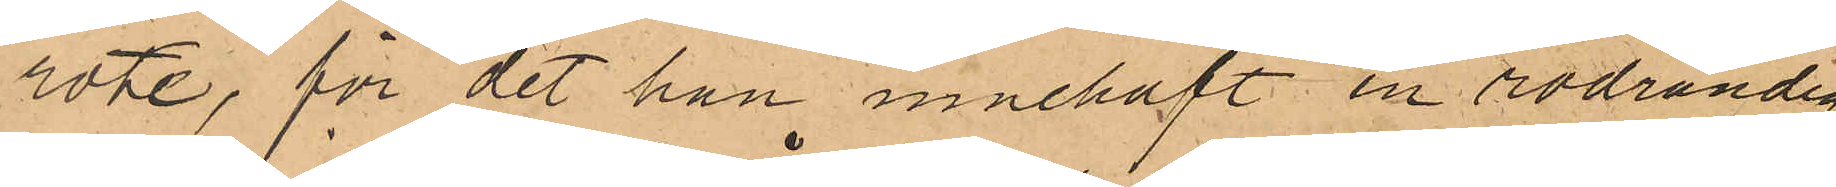rote, för det han innehaft en rödrandig
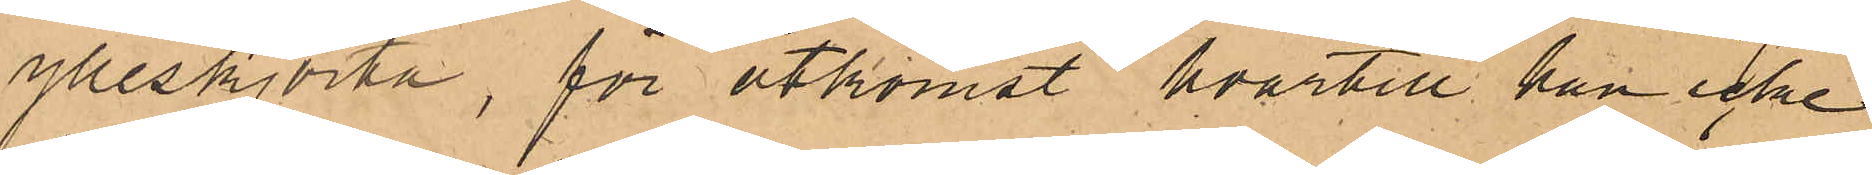ylleskjorta, för åtkomst hvartill han icke
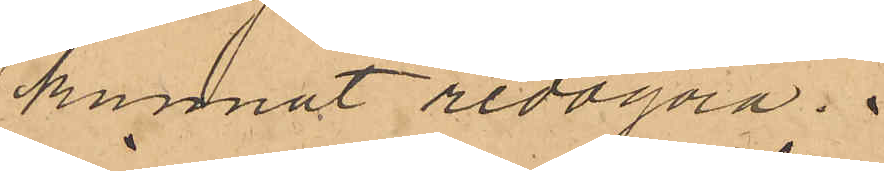kunnat redogöra.
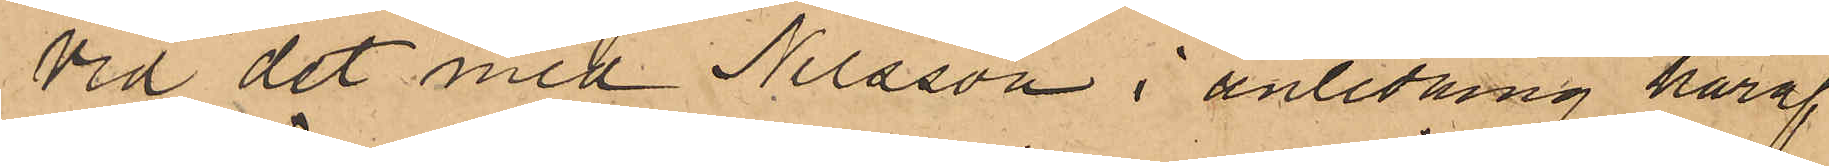Vid det med Nilsson i anledning häraf
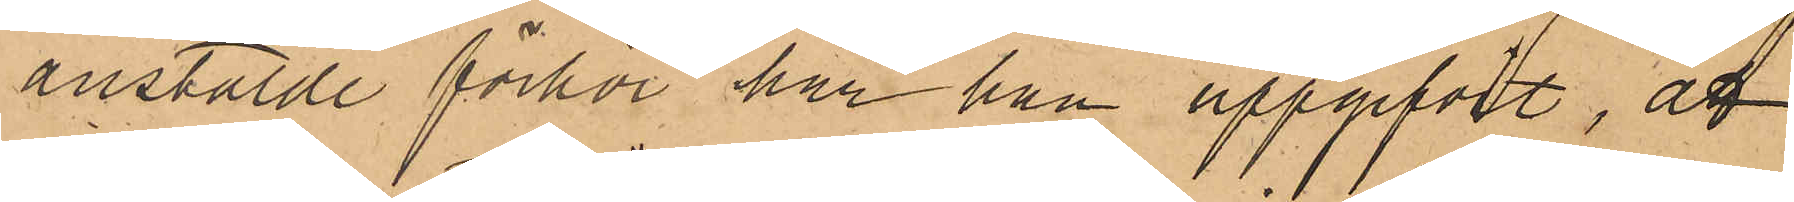anstälde förhör har han uppgifvit, att
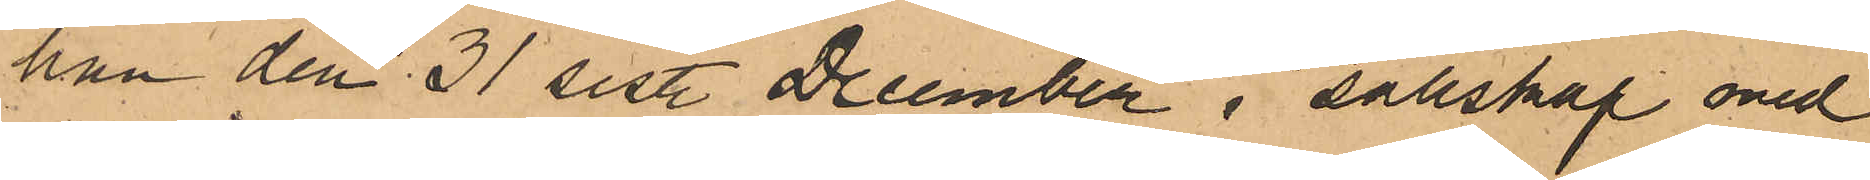han den 31 sist. December i sällskap med
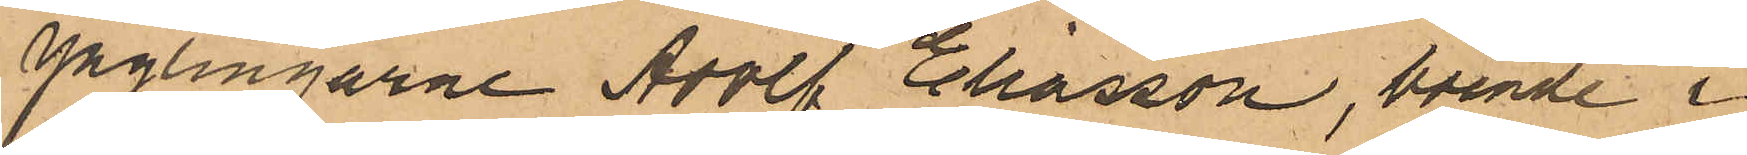ynglingarne Adolf Eliasson, boende i
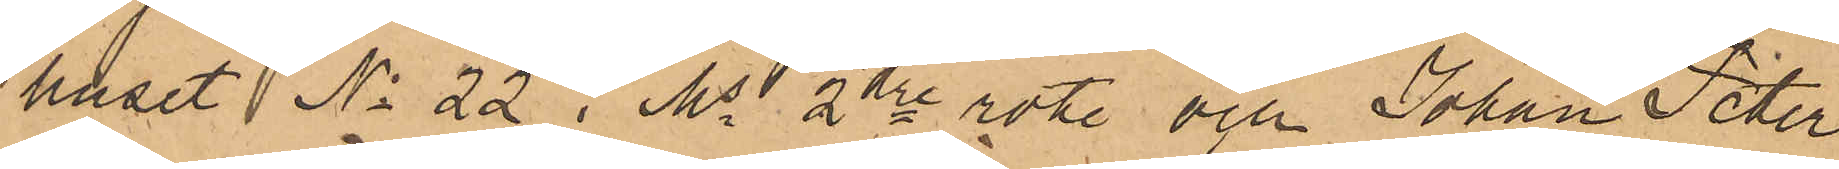huset No 22 i Ms 2dre rote och Johan Peter
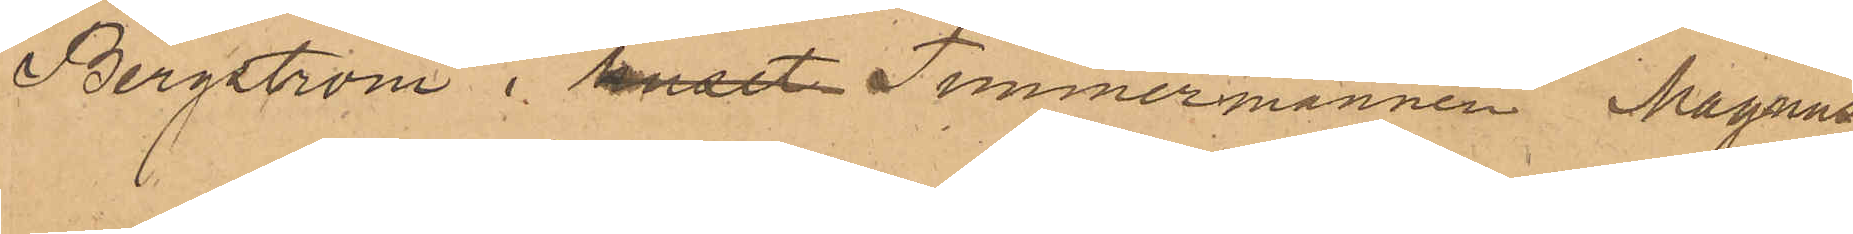Bergström i huset Timmermannen Magnus¬
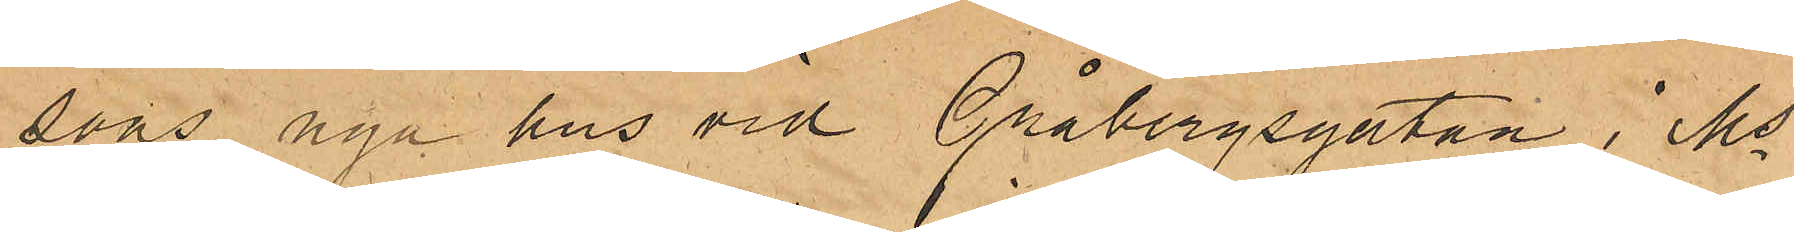sons nya hus vid Gråbergsgatan i Ms
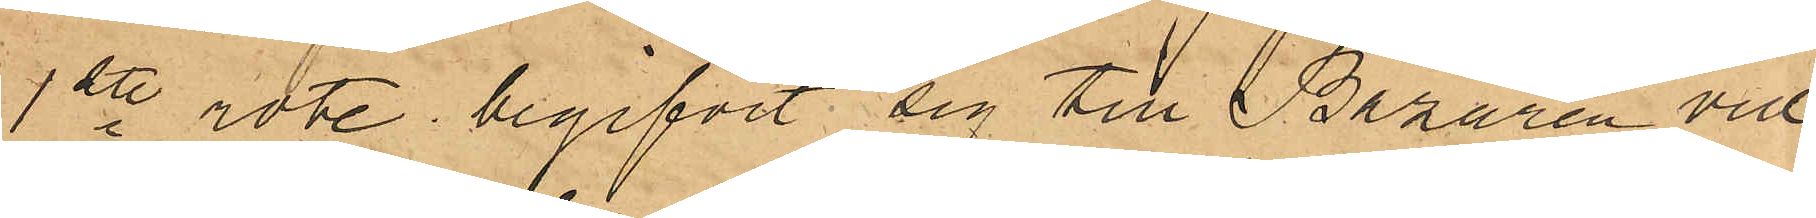1ste rote begifvit sig till Bazaren vid
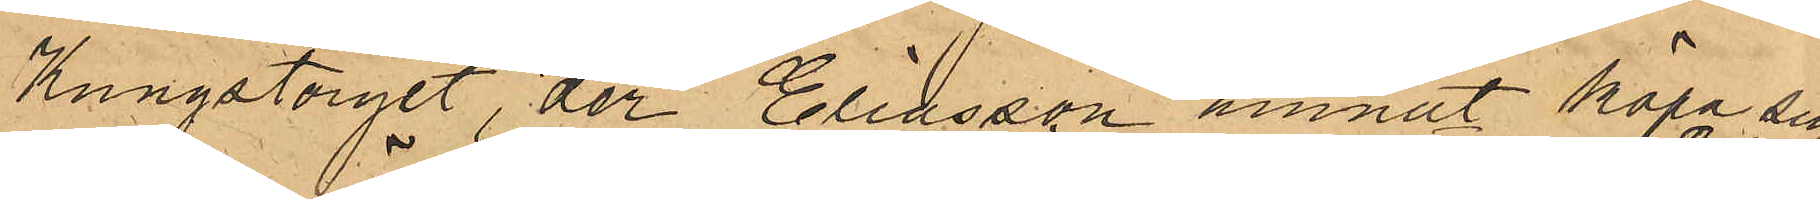Kungstorget, der Eliasson ämnat köpa sig
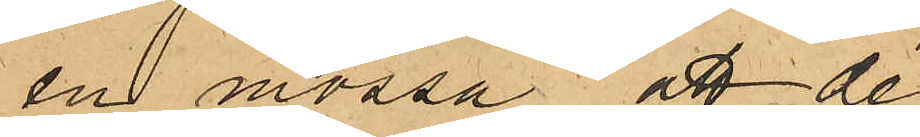en mössa, att de
